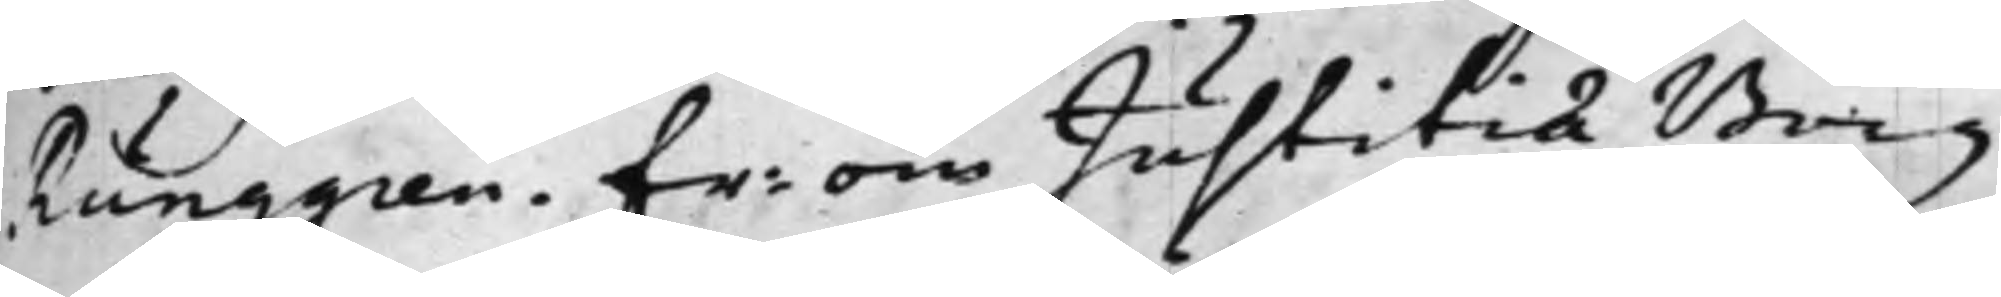Runggren. Fr: om Justitiae Borg¬
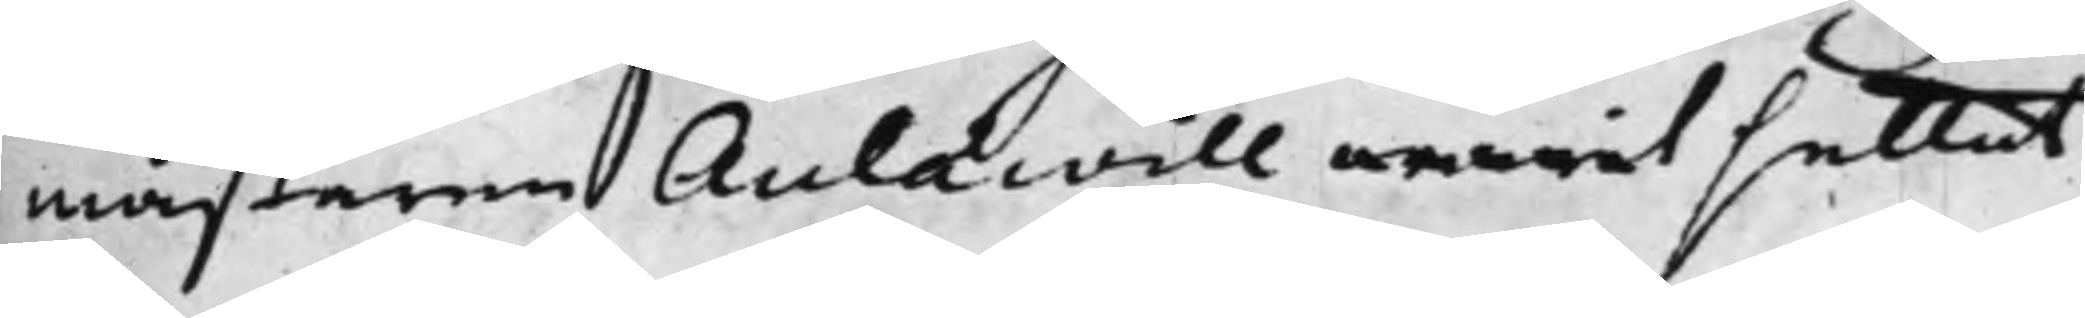mästaren Aulaevill warit settat
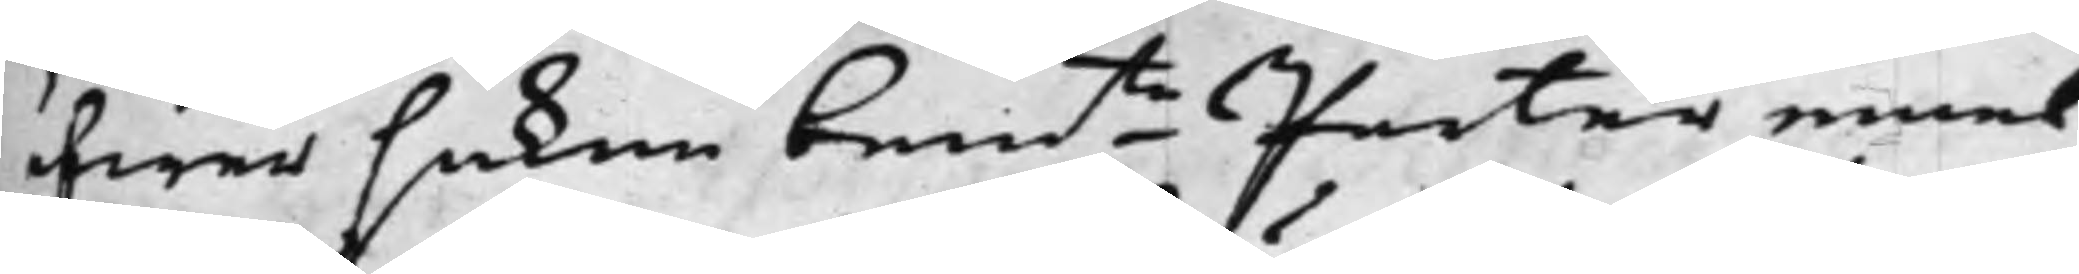öfwer saken bemte Parter emel¬
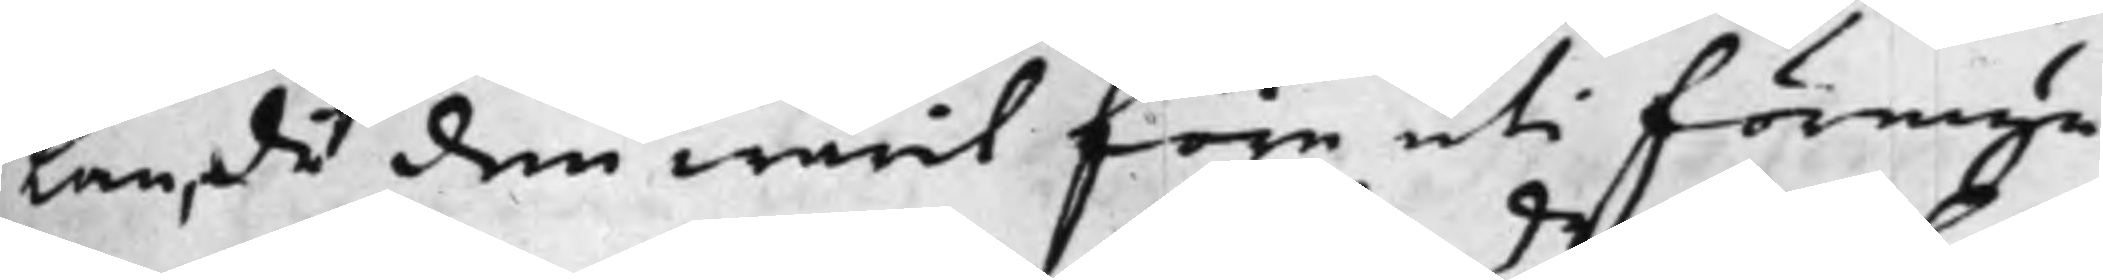lan, då den warit före uti förmyn¬
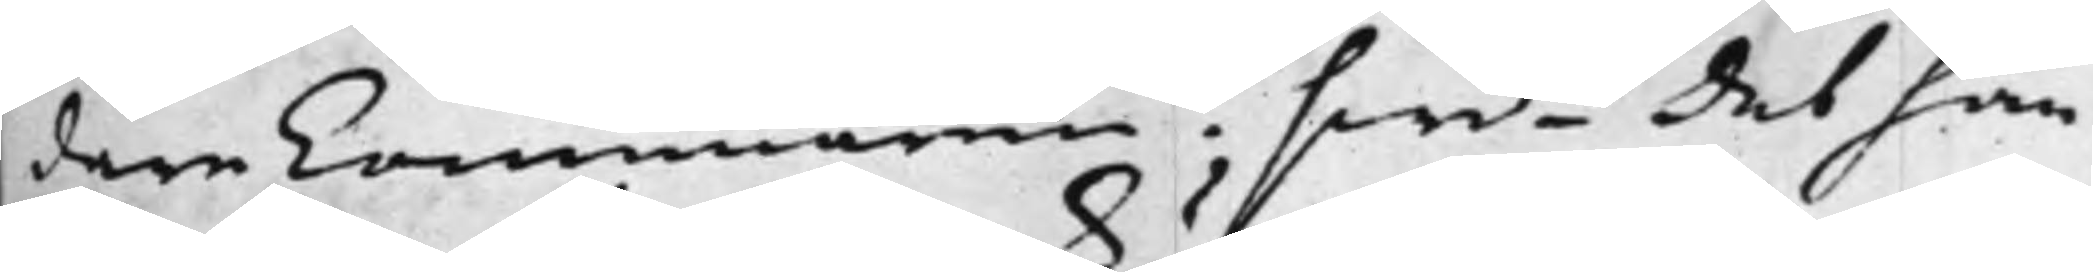dare Cammaren? Swde det han
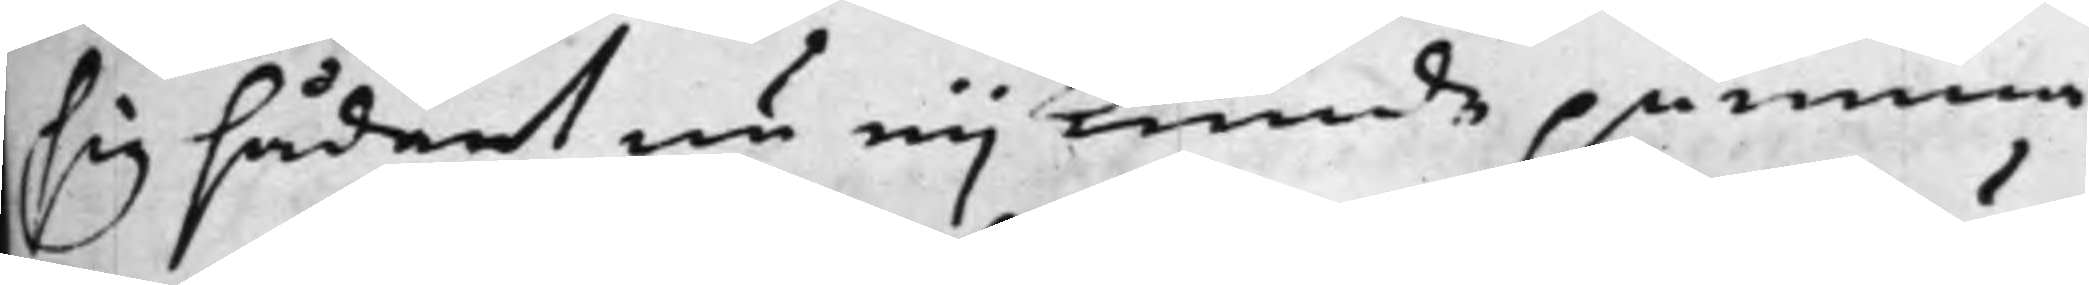sig sådant nu eij kunde påmina,
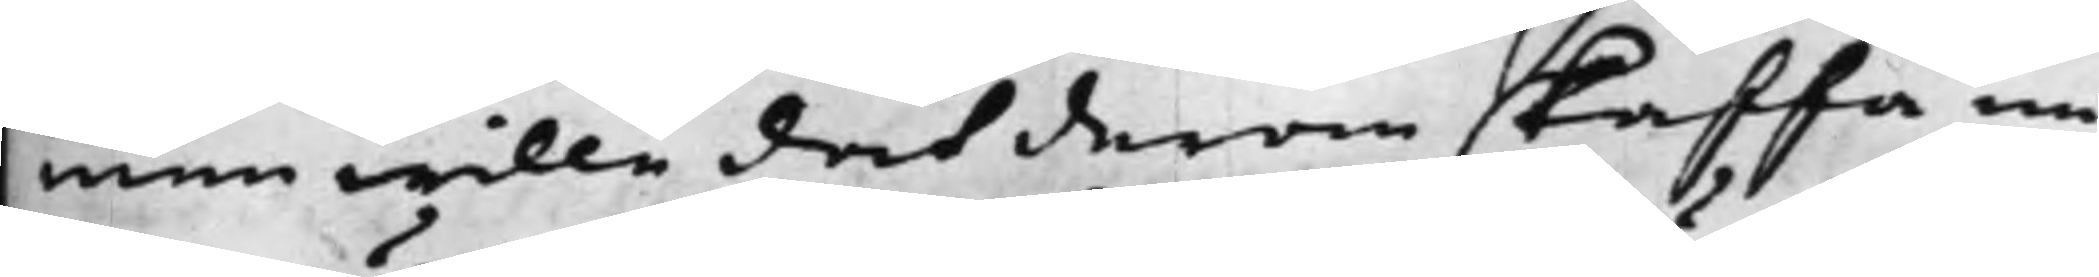men wille doch derom skaffa un¬
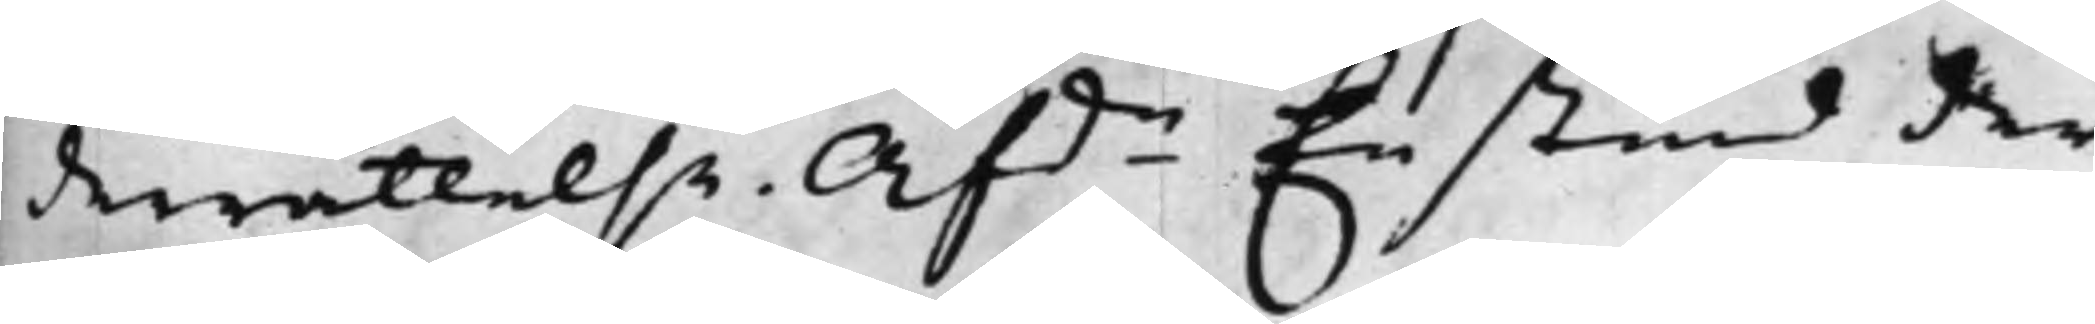derrättelse. Afde En stund der¬
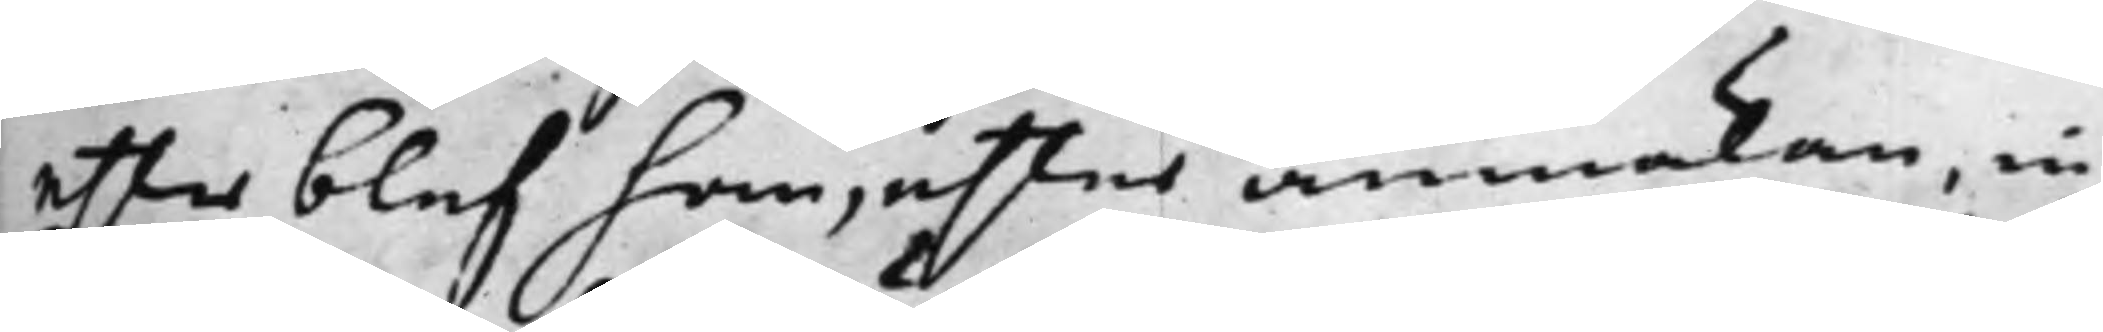effter blef han, efter anmälan, in¬
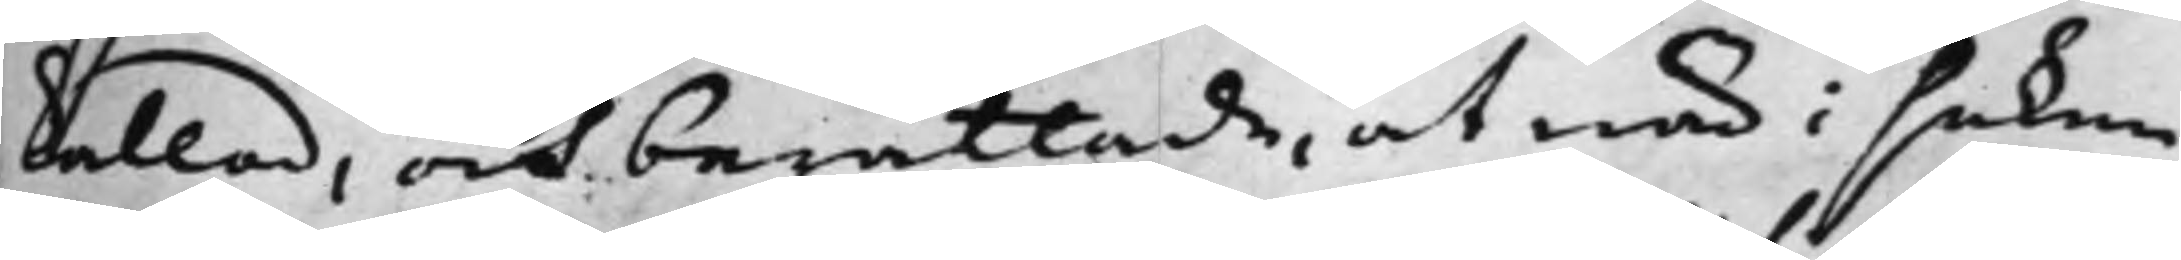kallad, och berättade, at när i saken
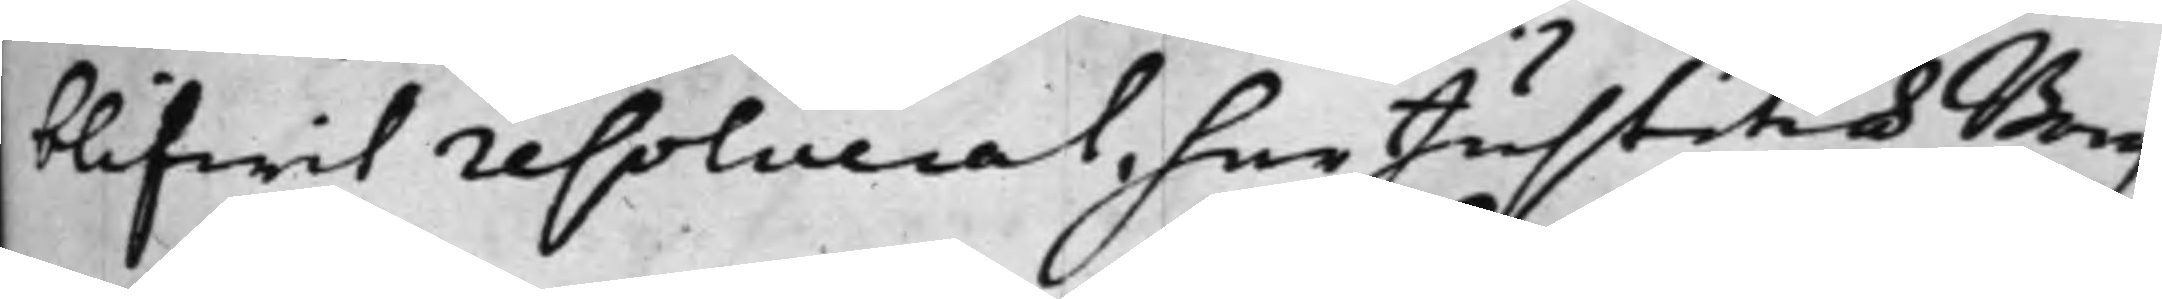blifwit resolverat, har Justitiae Borg¬
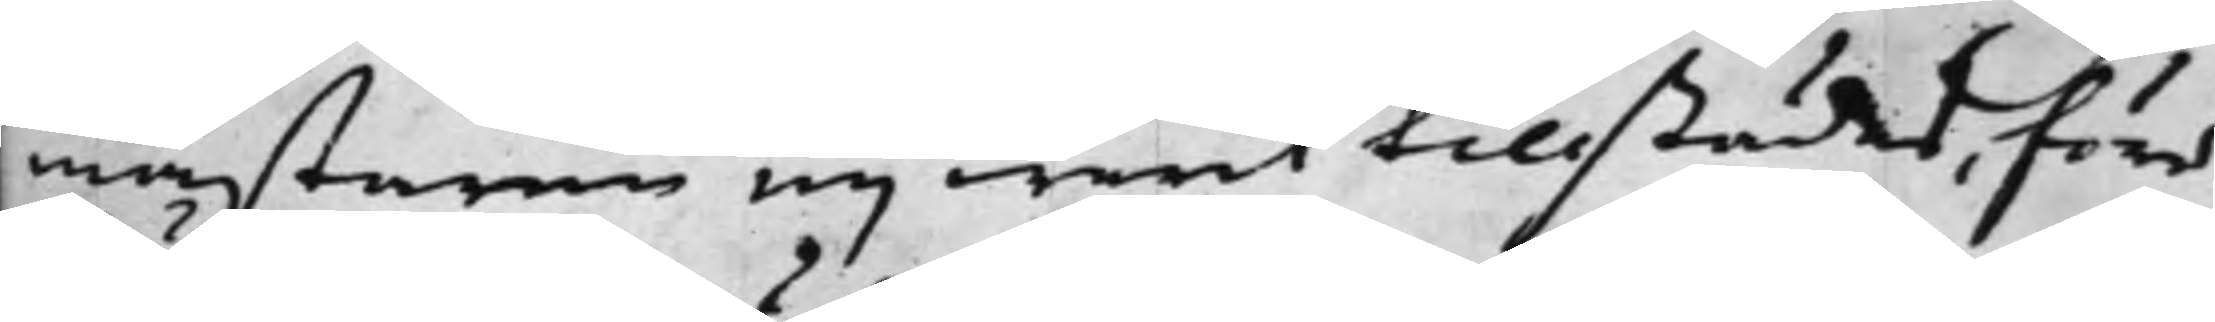mästaren eij warit tillstädes, förr
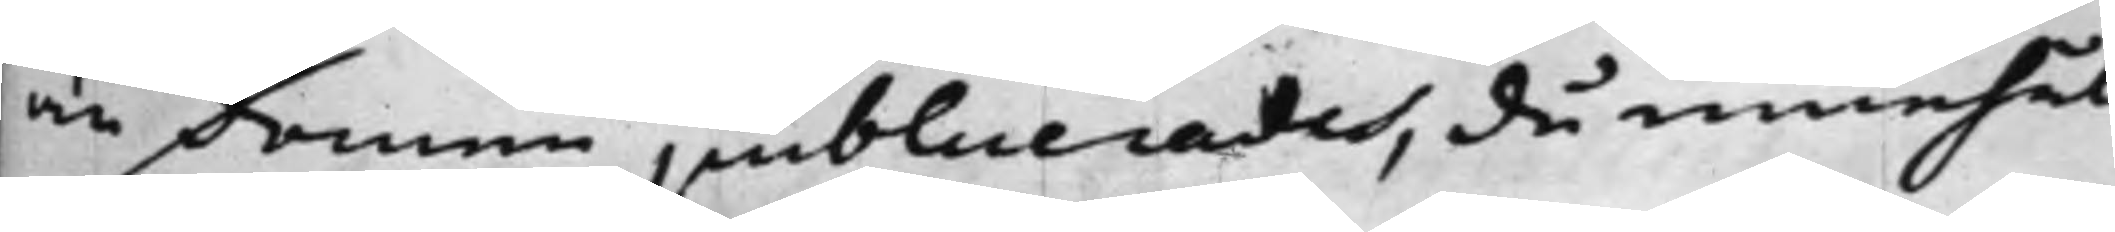än domen publicerades, då innehål¬
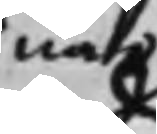när
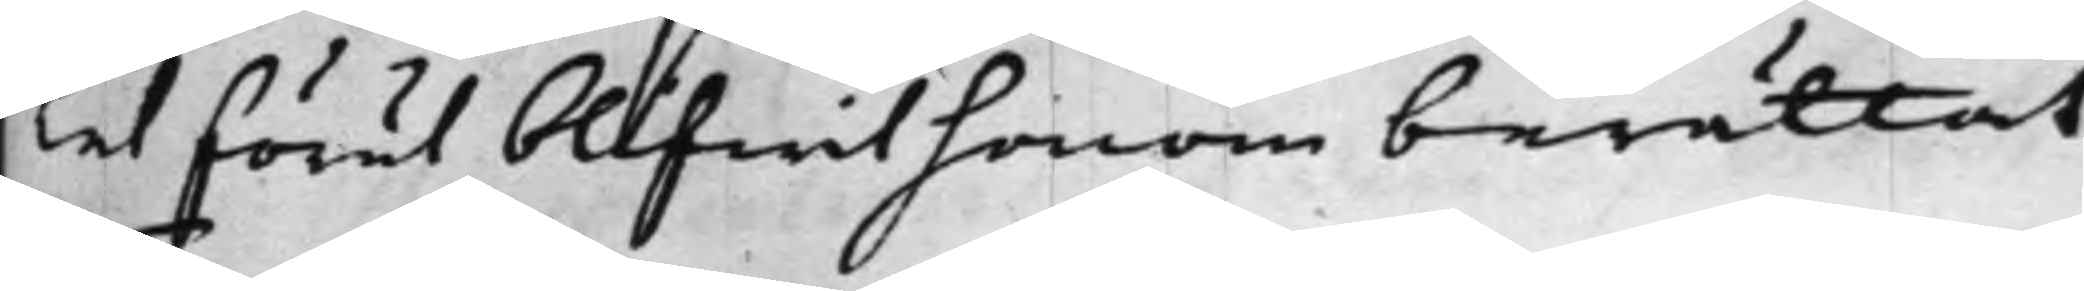let förut blifwit honom berättat.
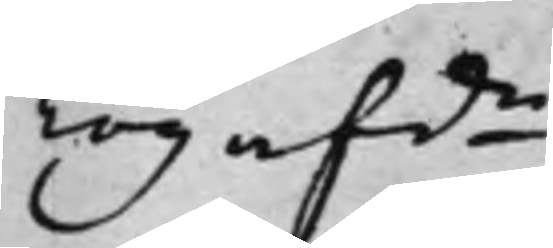Tog afde
